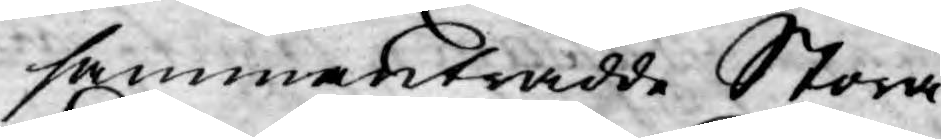sammanträdde Stora
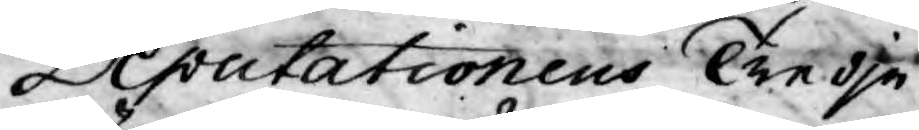Deputationens Tredje
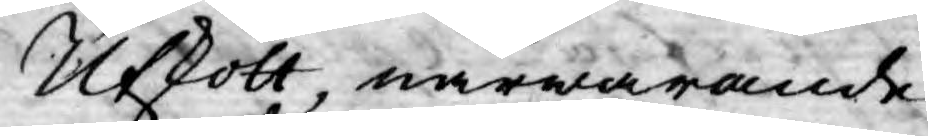Utskott, närwarande
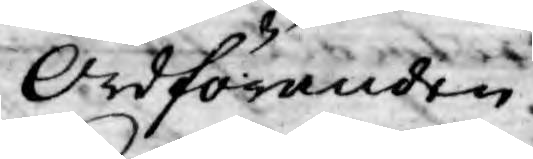Ordföranden
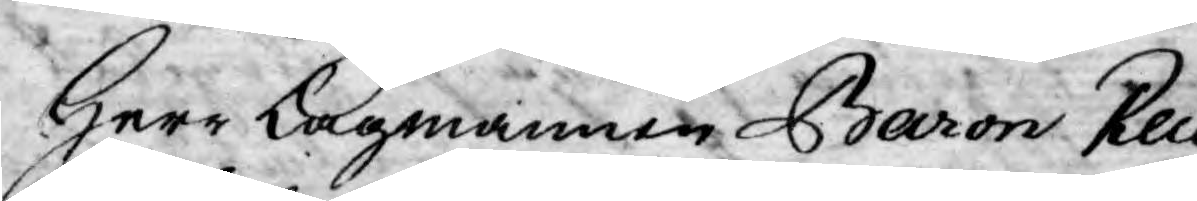Herr Lagmannen Baron Reu¬
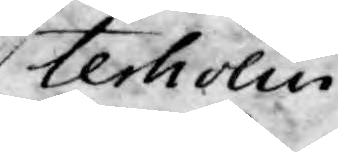terholm
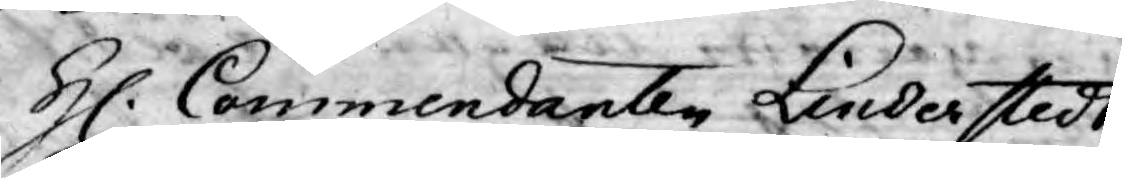H. Commendanten Linderstedt
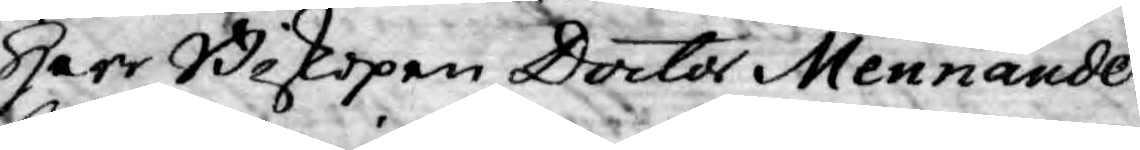Herr Biskopen Doctor Mennander
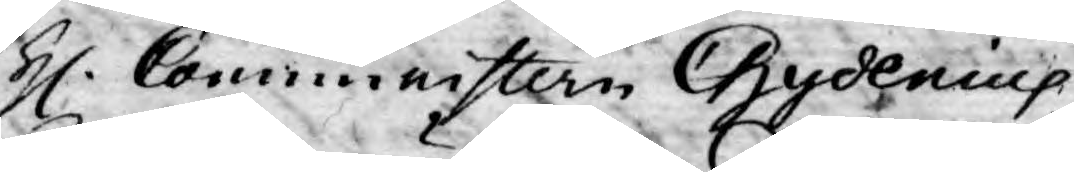H. Comminstern Chydenius
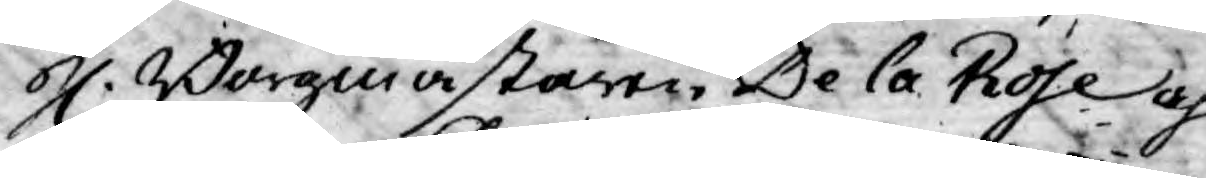H. Borgmästaren De la Rose och
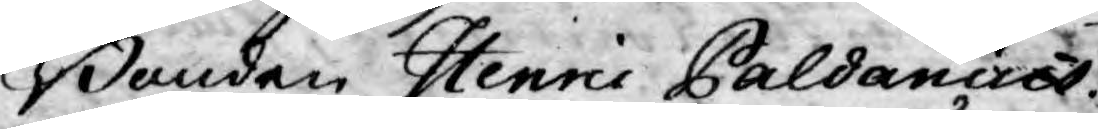Bonden Henric Paldanius.
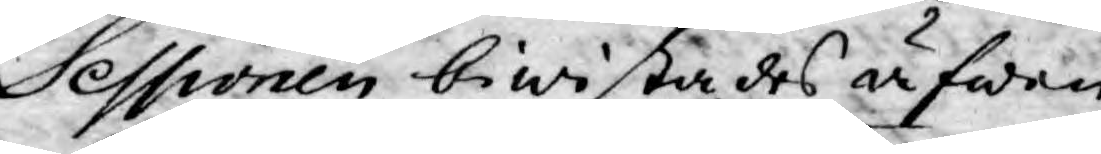Sessionen biwistades äfwen
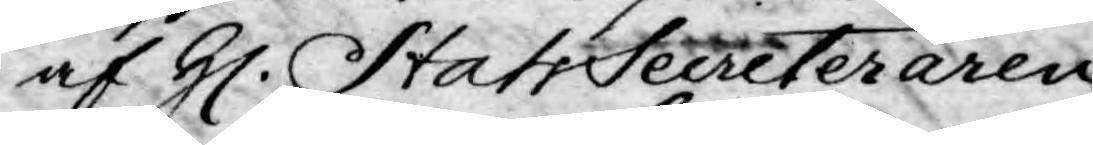af H. StatsSecreteraren
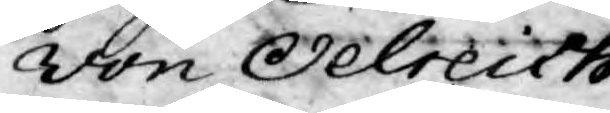von Oelreich.
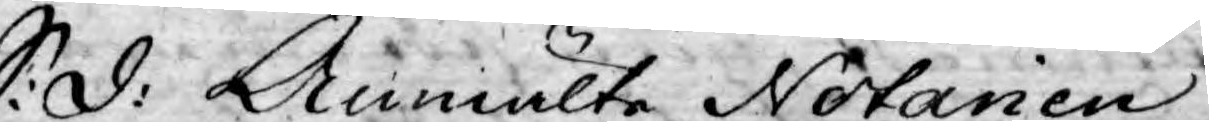S: d: Anmälte Notarien
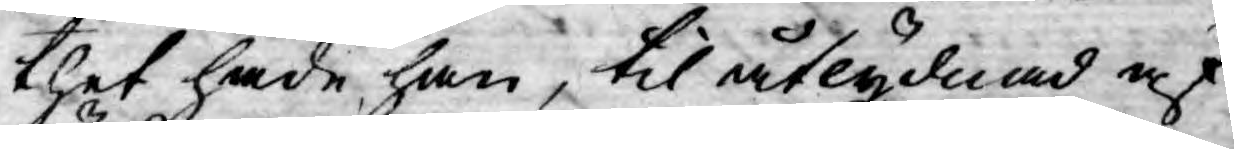thet hade han, til åtlydnad af
